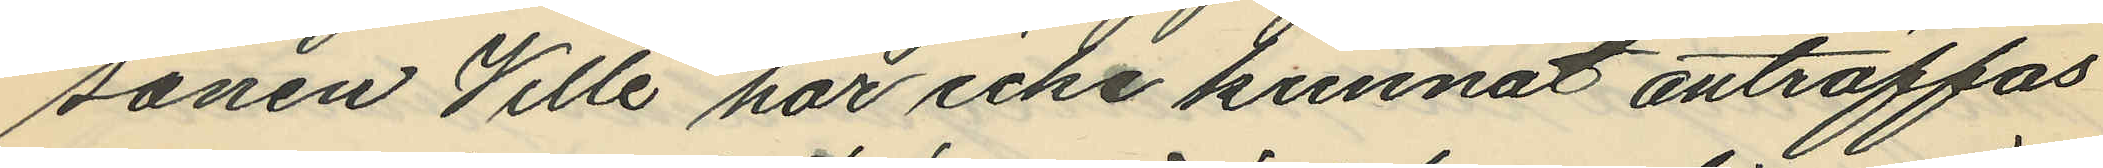sonen Ville har icke kunnat anträffas
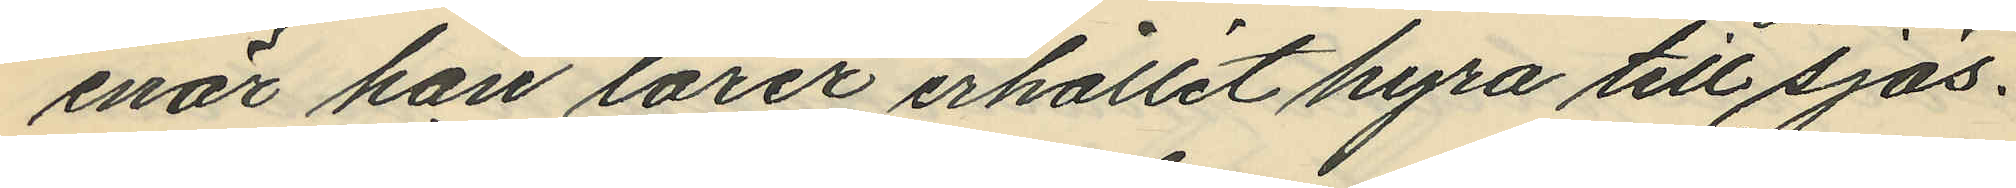enär han lärer erhållit hyra till sjös.
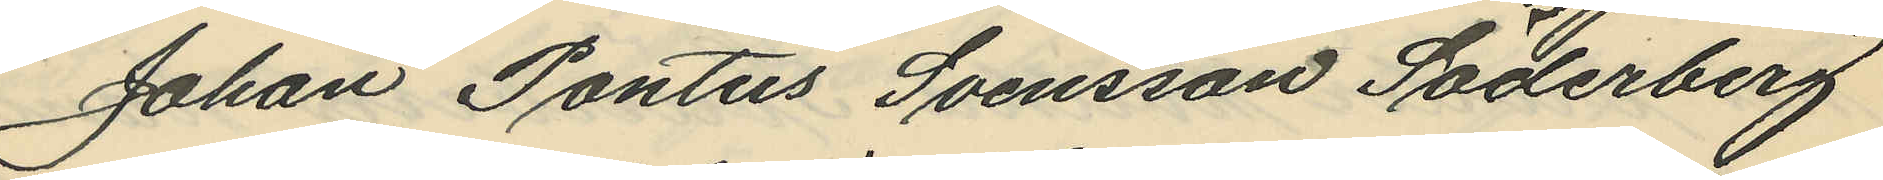Johan Pontus Svensson Söderberg
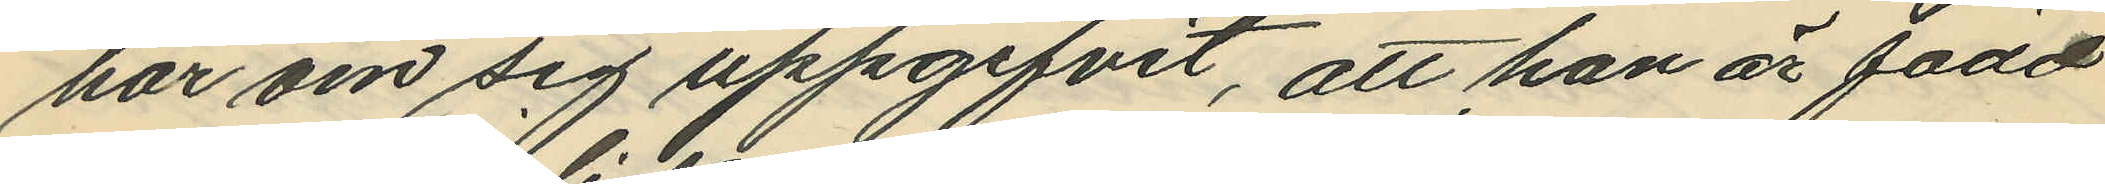har om sig uppgifvit, att han är född
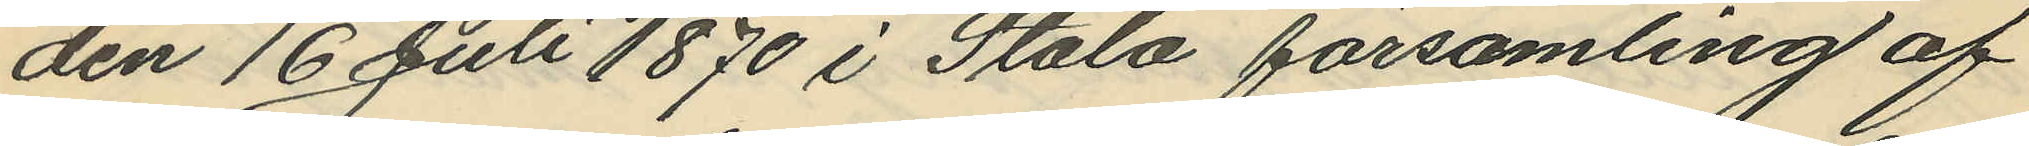den 16 Juli 1870 i Stala församling af
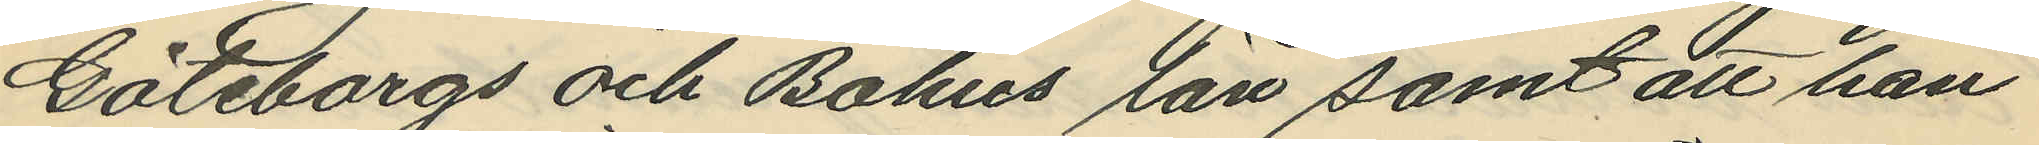Göteborgs och Bohus län samt att han
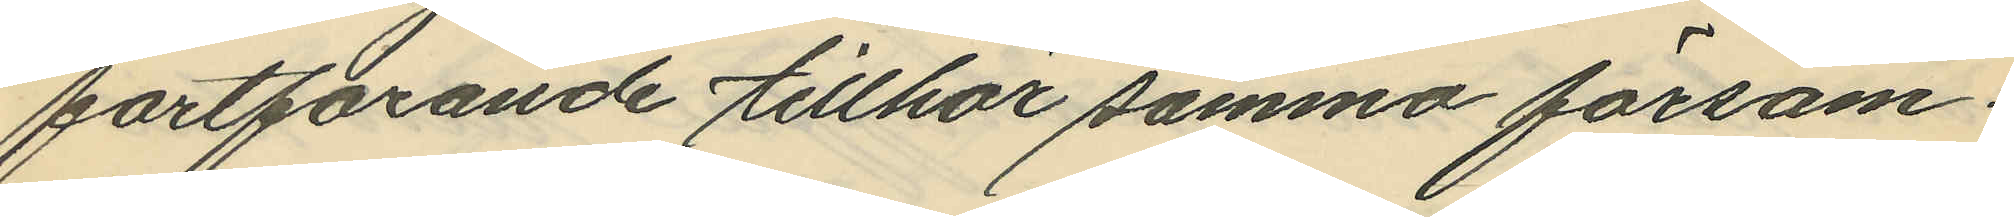fortfarande tillhör samma försam¬
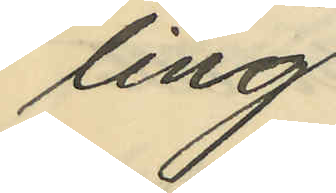ling
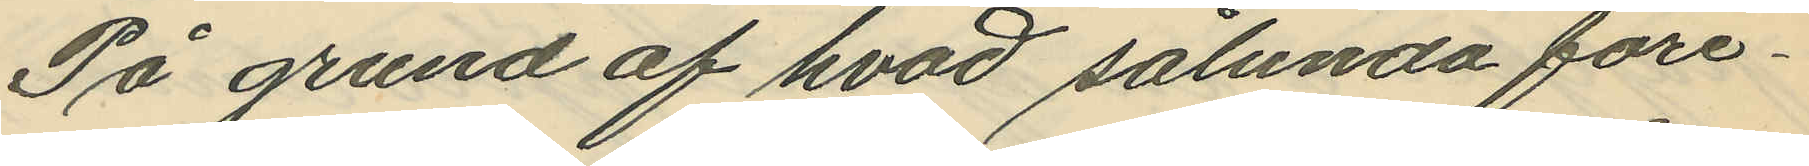På grund af hvad sålunda före¬
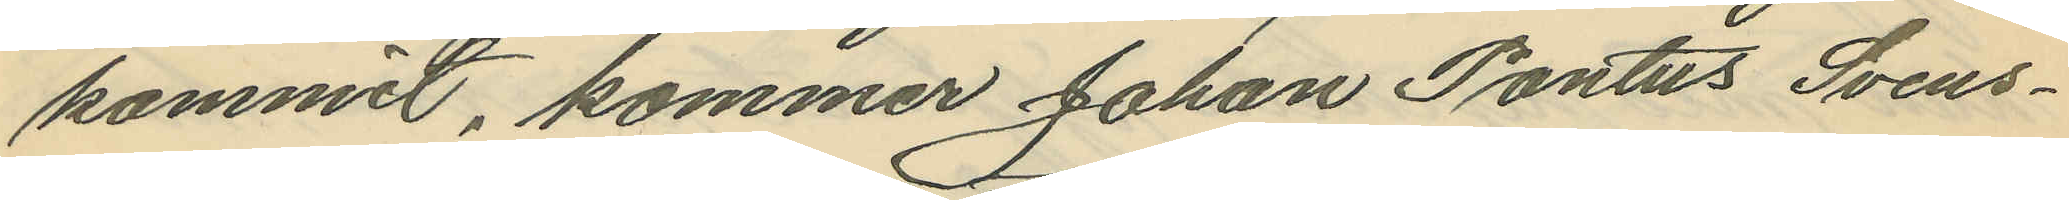kommit, kommer Johan Pontus Svens¬
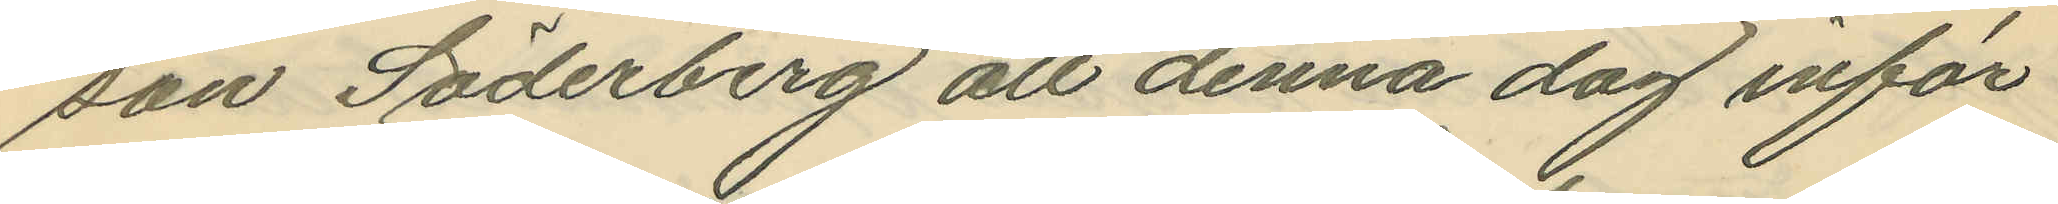son Söderberg att denna dag inför
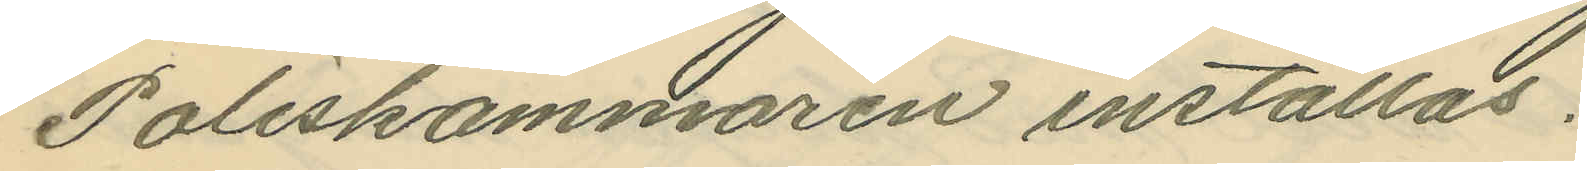Poliskammaren inställas.
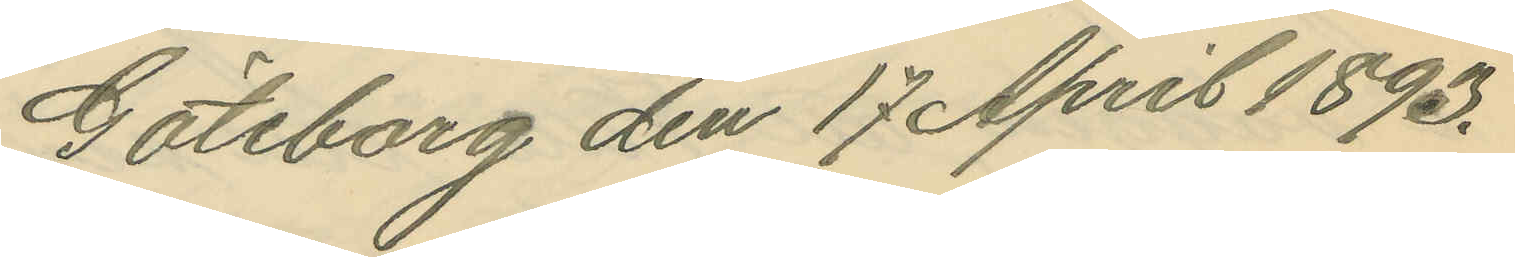Göteborg den 17 April 1893.
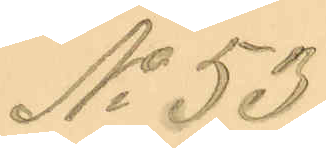No 53
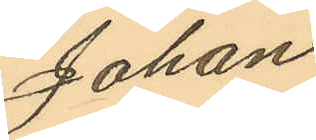Johan
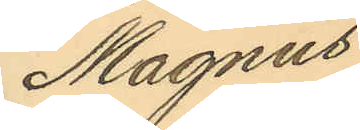Magnus
